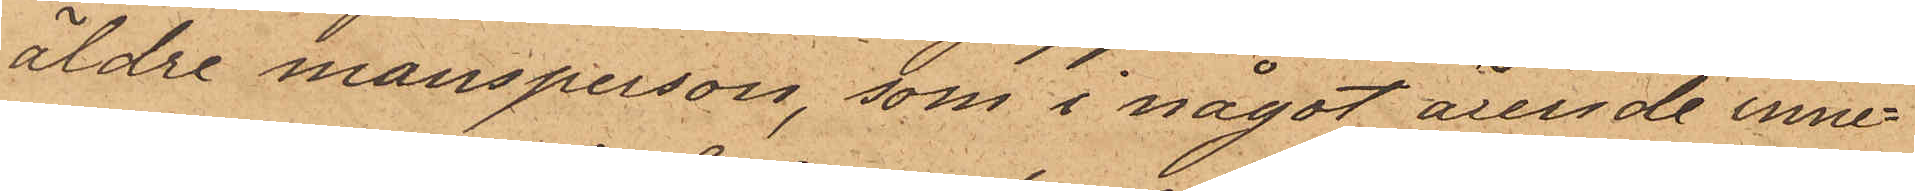äldre mansperson, som i något ärende inne¬
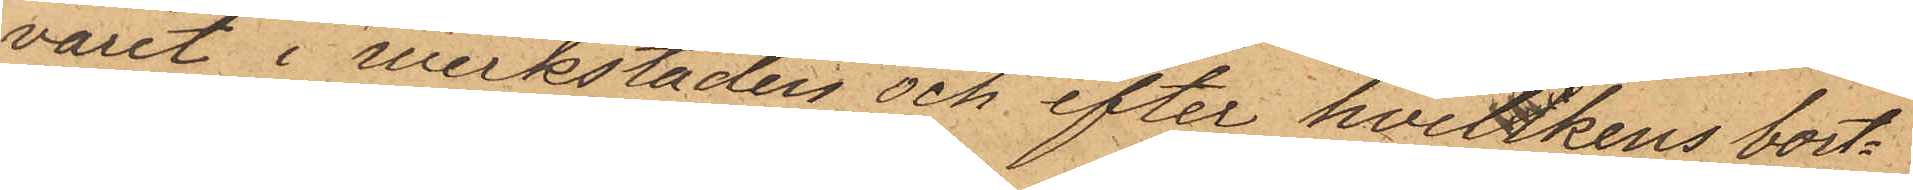varit i verkstaden och efter hviltkens bort¬
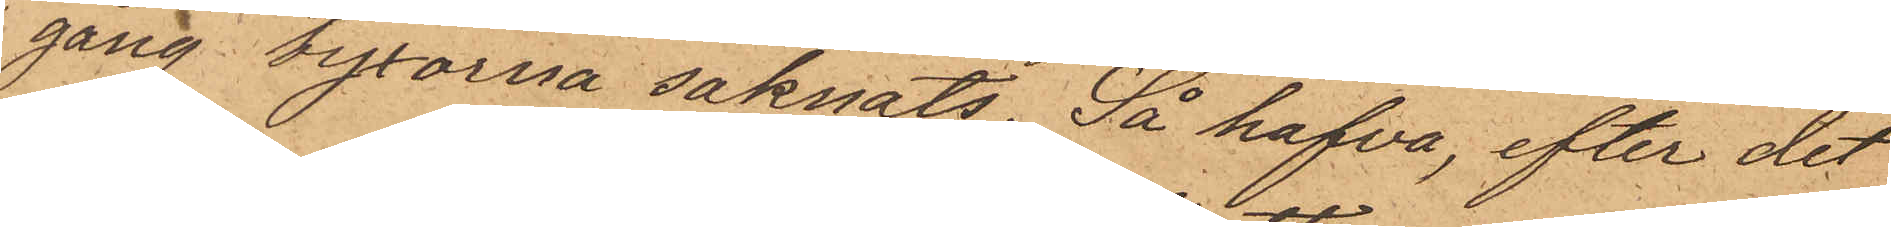gång byxorna saknats, så hafva, efter det
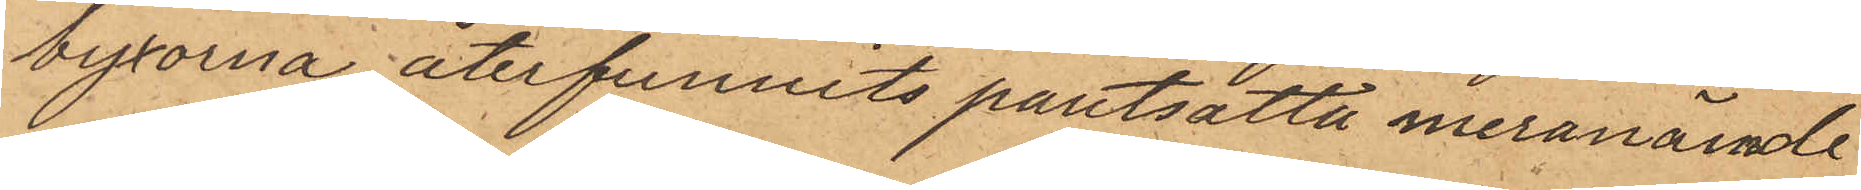byxorna återfunnits pantsatta innevarande
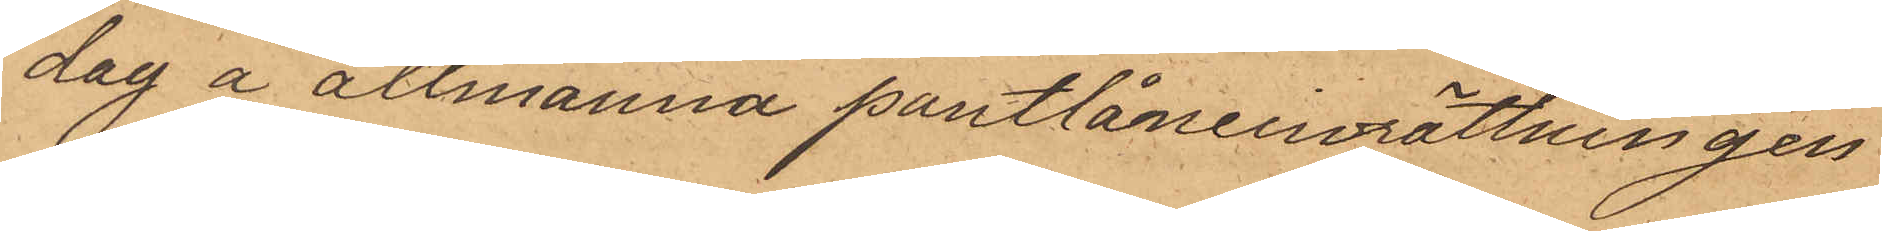dag å allmänna pantlåneinrättningen
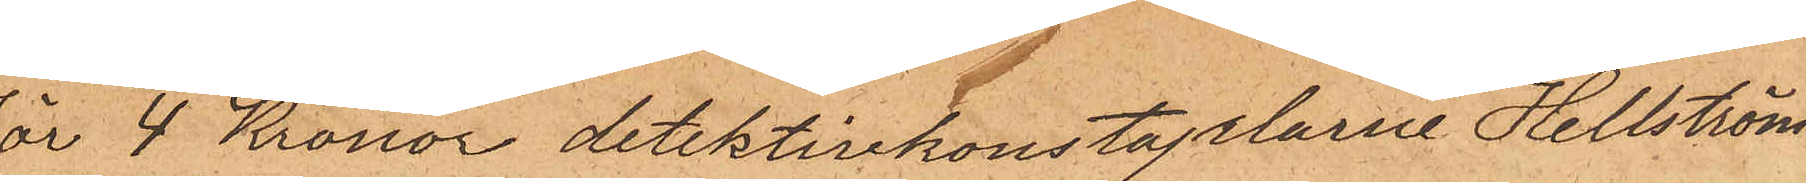för 4 Kronor detektivkonstaplarne Hellström
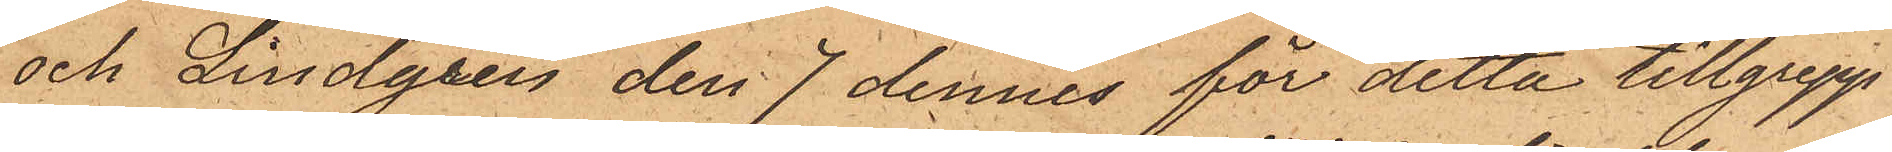och Lindgren den 7 dennes för detta tillgrepp
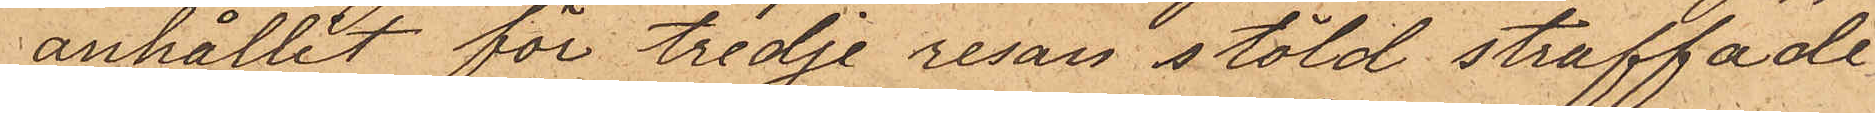anhållit för tredje resan stöld straffade
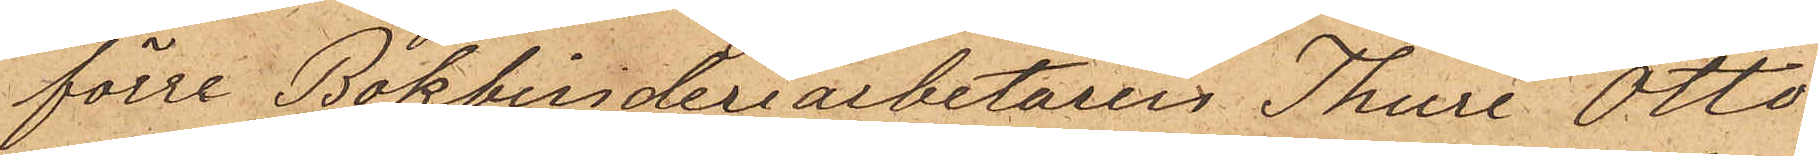förre Bokbinderiarbetaren Thure Otto
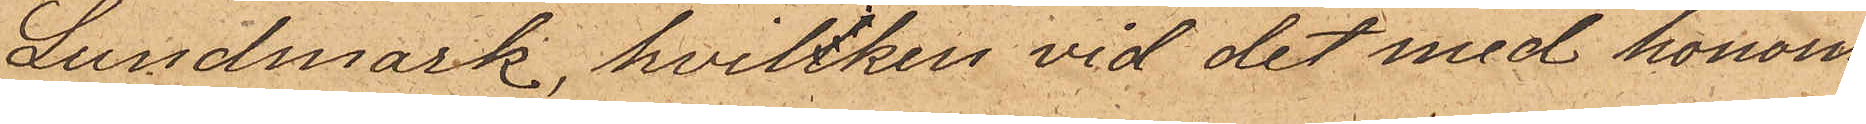Lundmark, hvilken vid det med honom
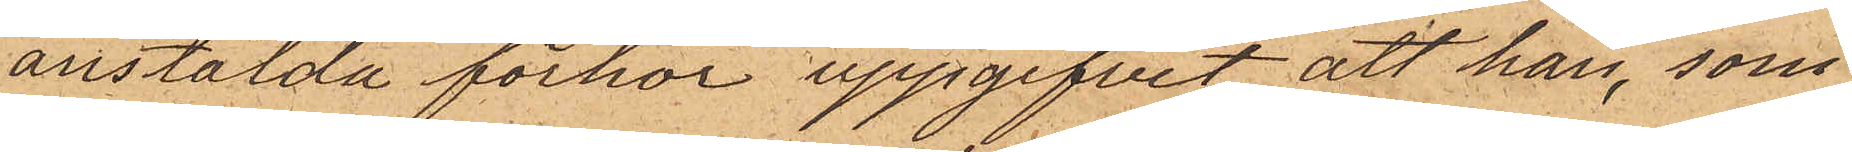anstälda förhör uppgifvit att han, som
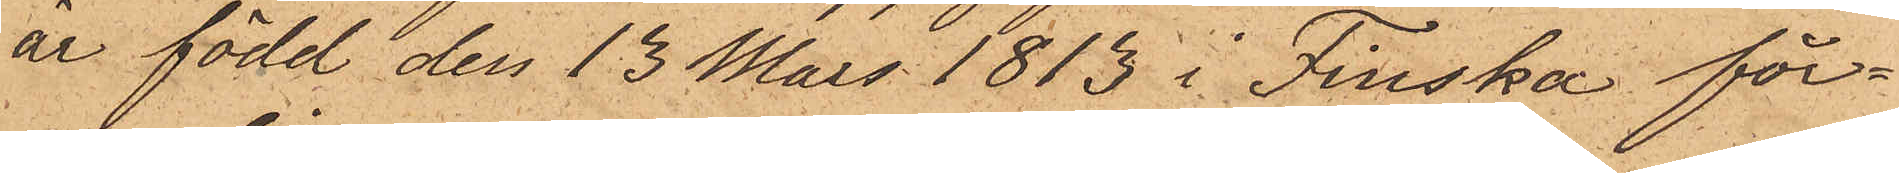är född den 13 Mars 1815 i Finska för¬
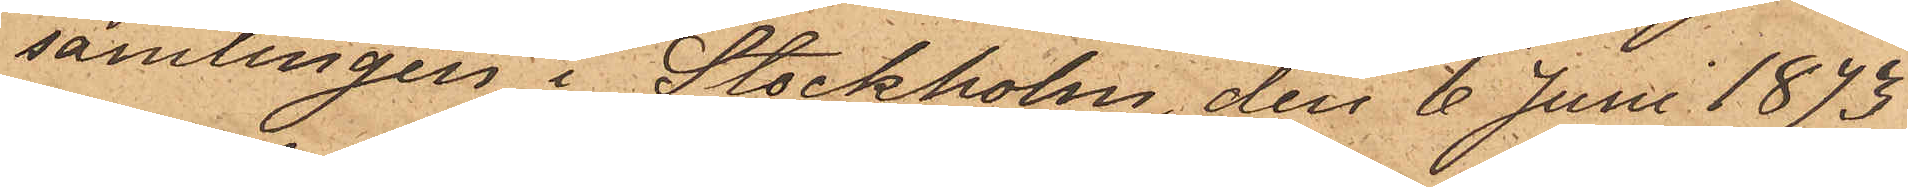samlingen i Stockholm, den 6 Juni 1873.
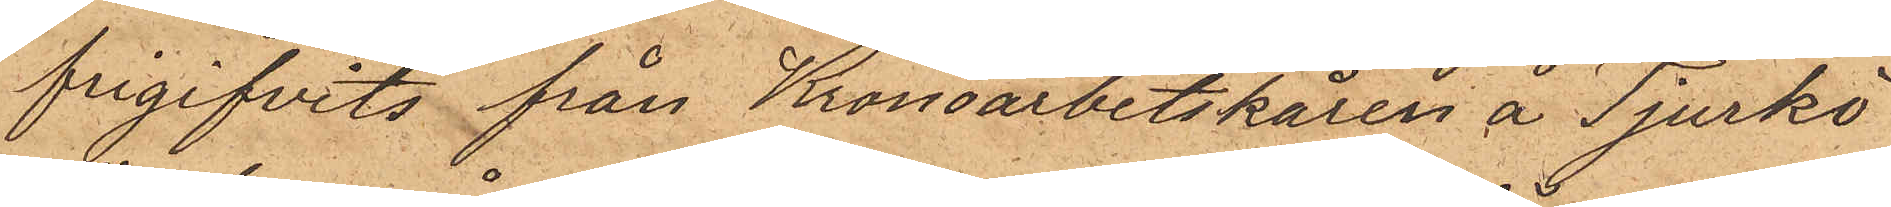frigifvits från Kronoarbetskåren å Tjurkö
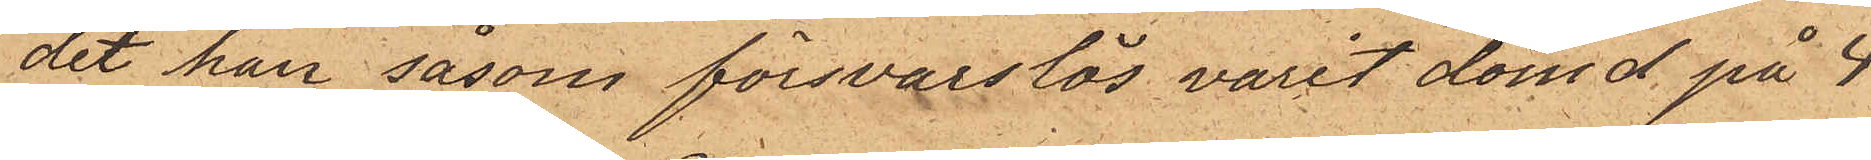dit han såsom försvarslös varit dömd på 4
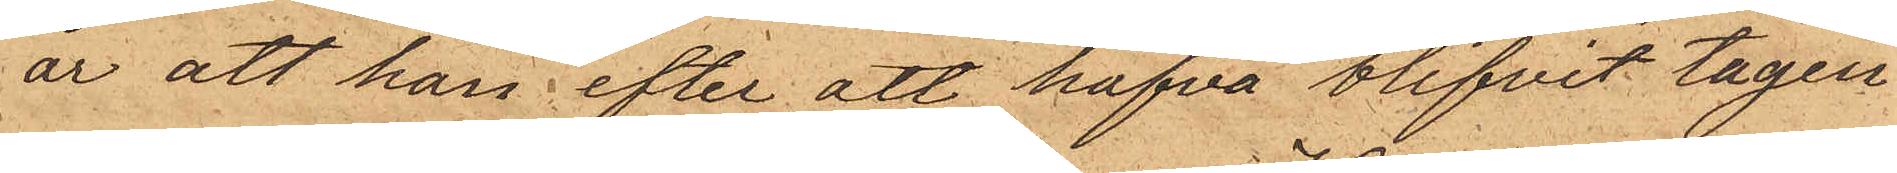år att han efter att hafva blifvit tagen
